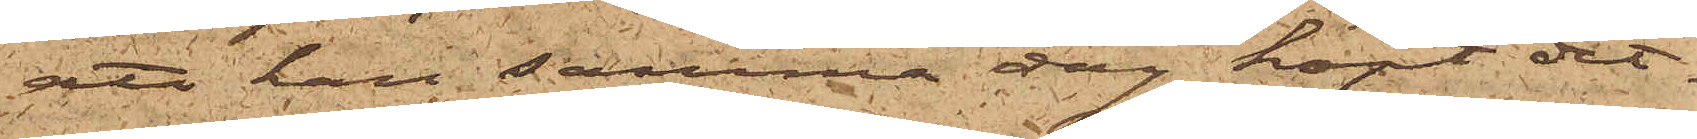att han samma dag köpt det
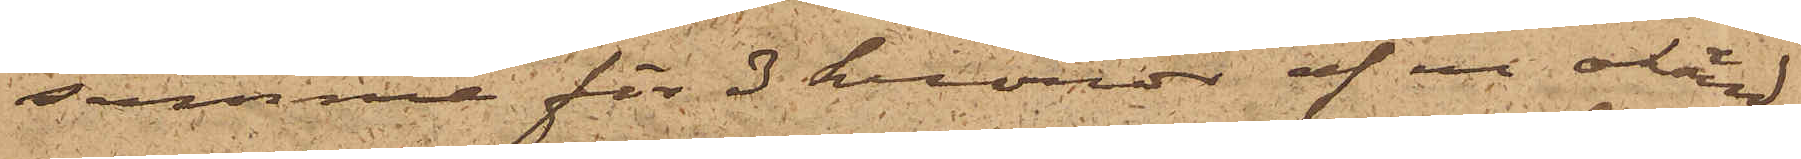samma för 3 kronor af en okänd
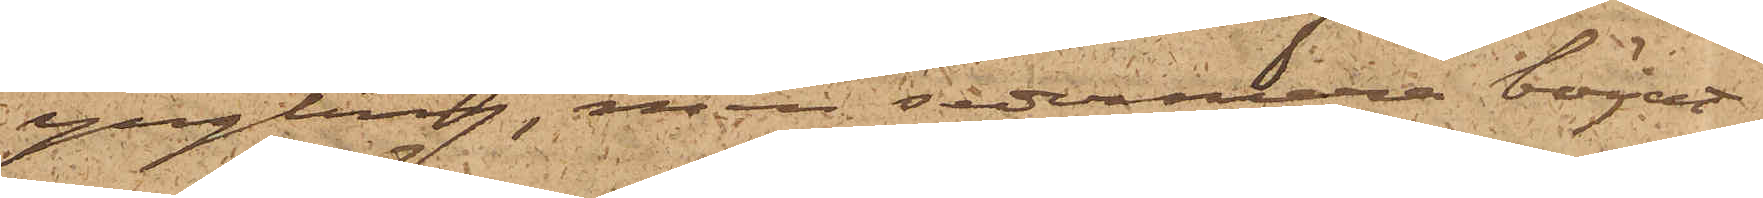yngling, men sedermera börjat
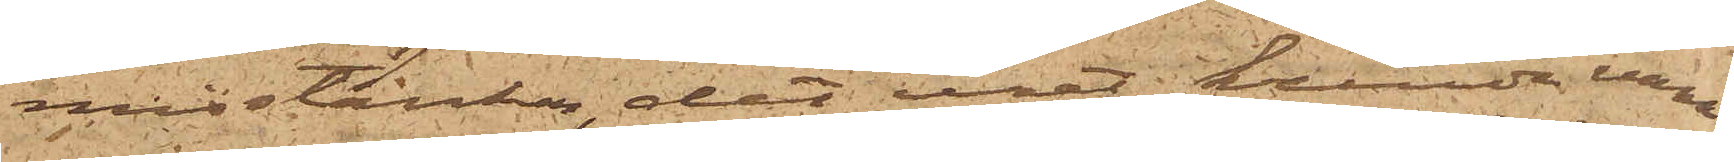misstänka, det uret kunde vara
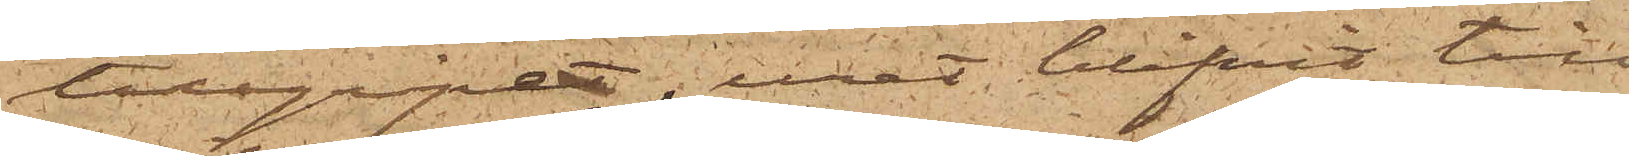tillgripet, uret blifvit till
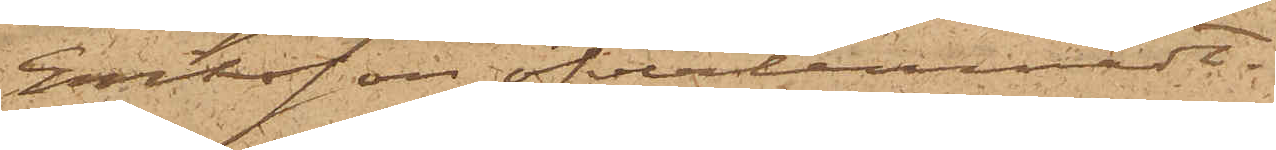Eriksson öfverlemnadt.
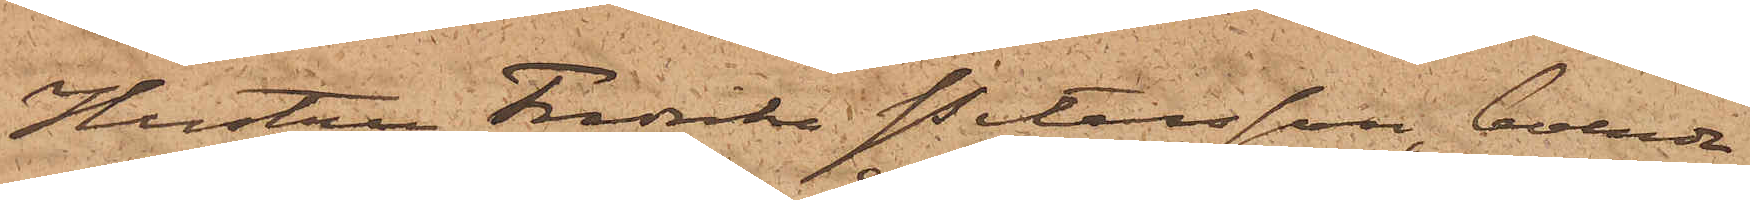Hustru Fredrika Petersson, boende
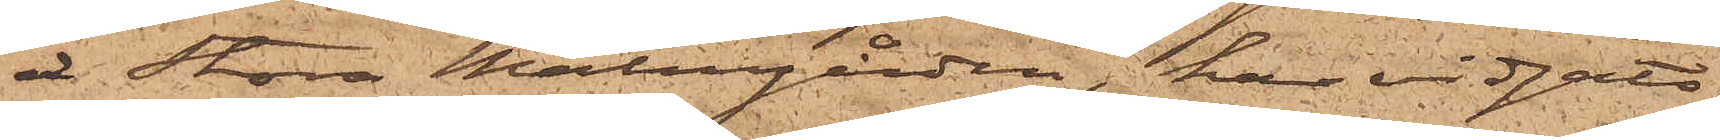å Stora Malmgården, har vidgått,
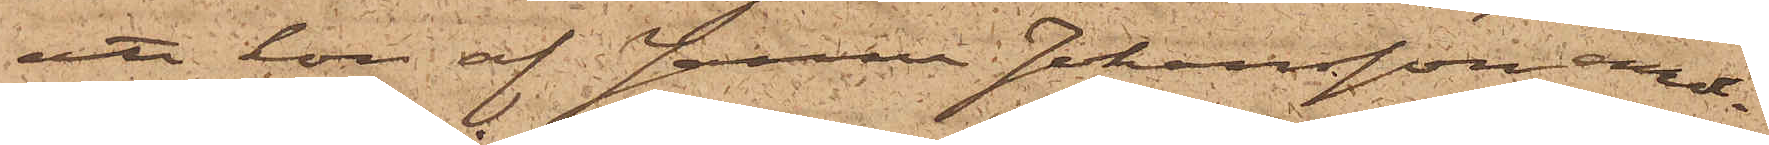att hon af Janne Johansson emot¬
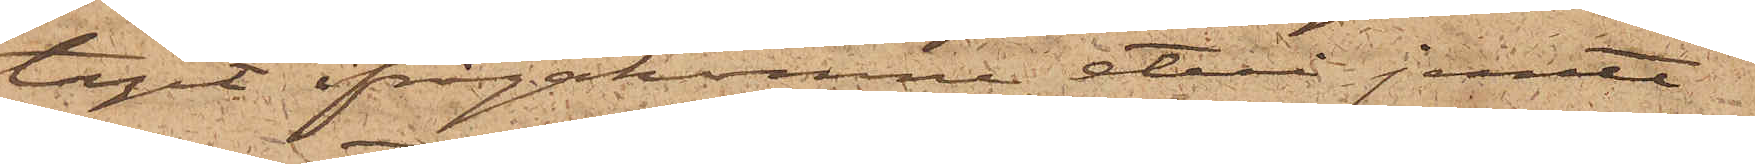tagit ifrågakomne etui jemte
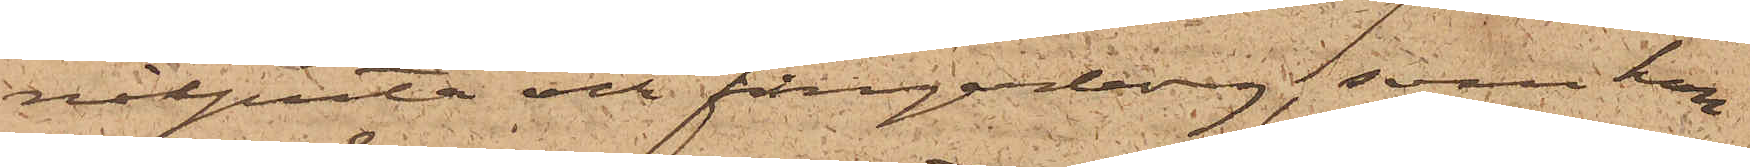nålputa och fingerborg, som hon
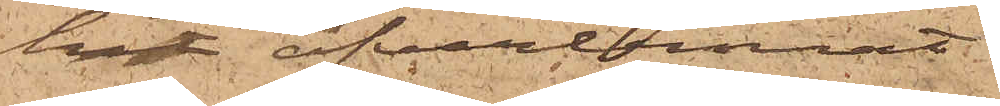hit öfverlemnat.
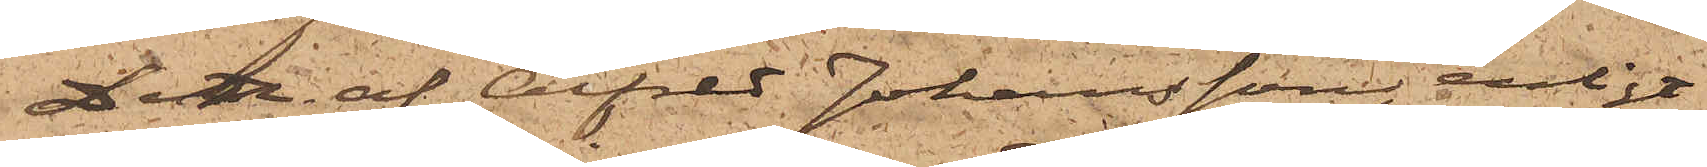Den af Alfred Johansson, enligt
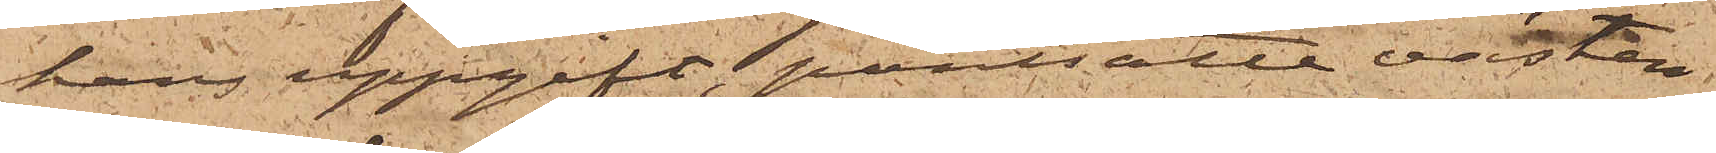hans uppgift, pantsatte västen
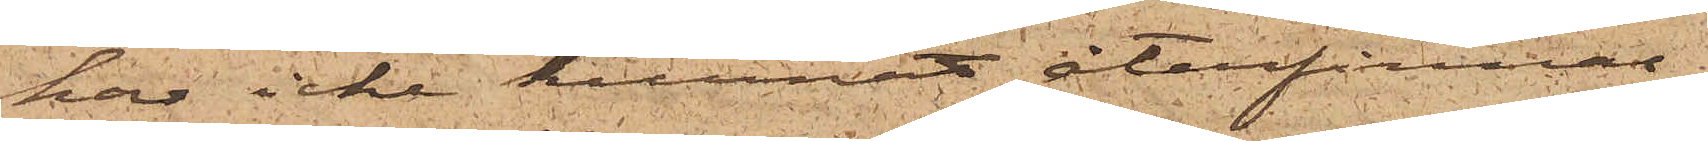har icke kunnat återfinnas
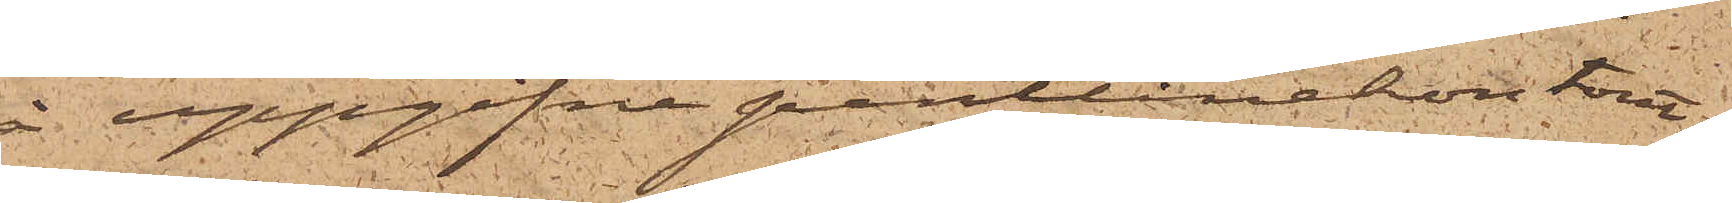å uppgifna pantlånekontoret.
